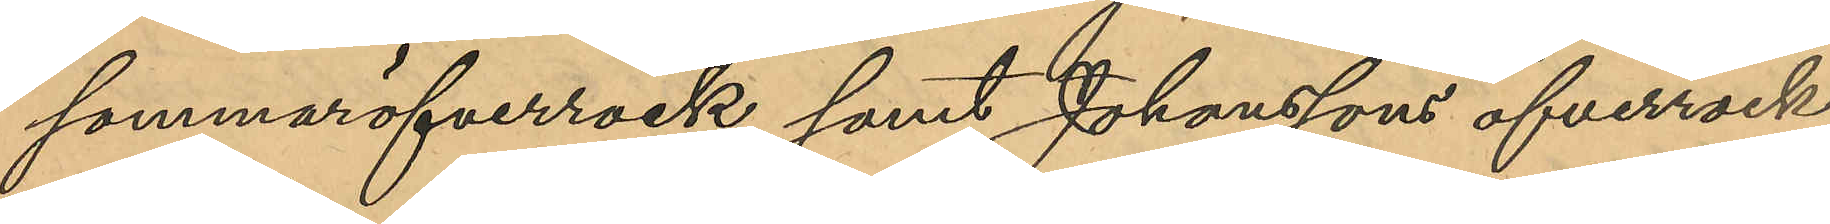sommaröfverrock samt Johanssons öfverrock
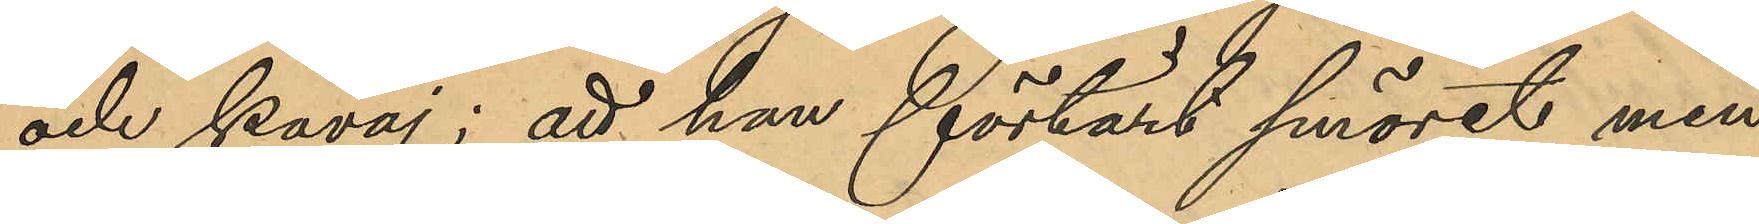och kavaj; att han förtärt smöret men
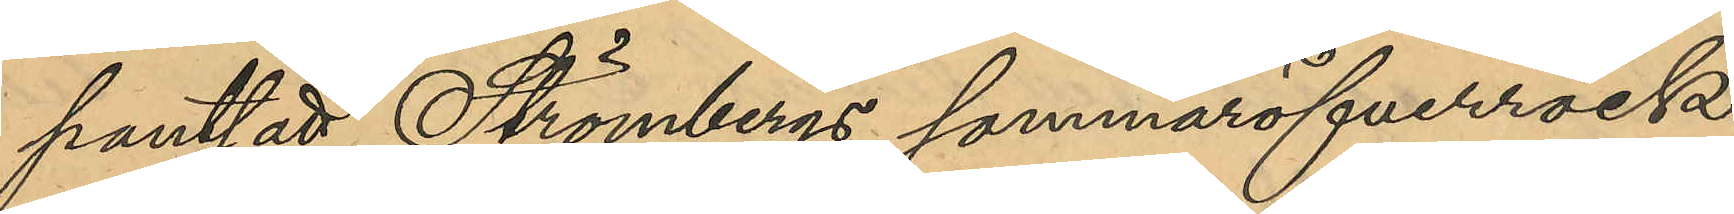pantsatt Strömbergs sommaröfverrock
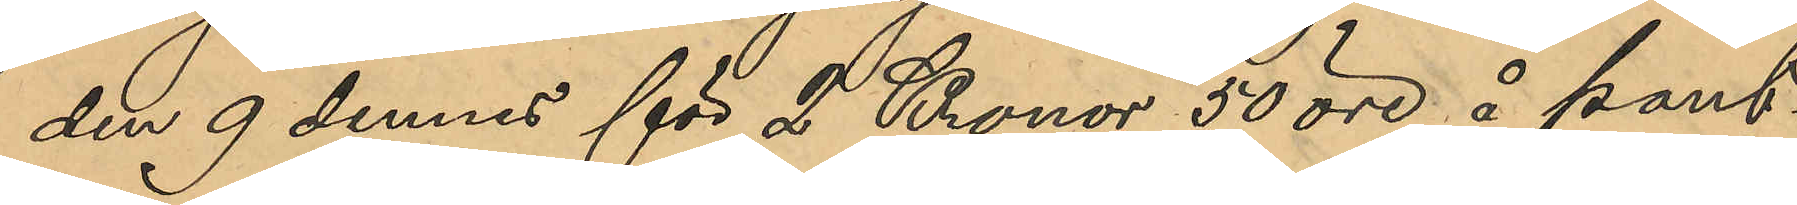den 9 dennes för 2 Kronor 50 öre å Pant¬
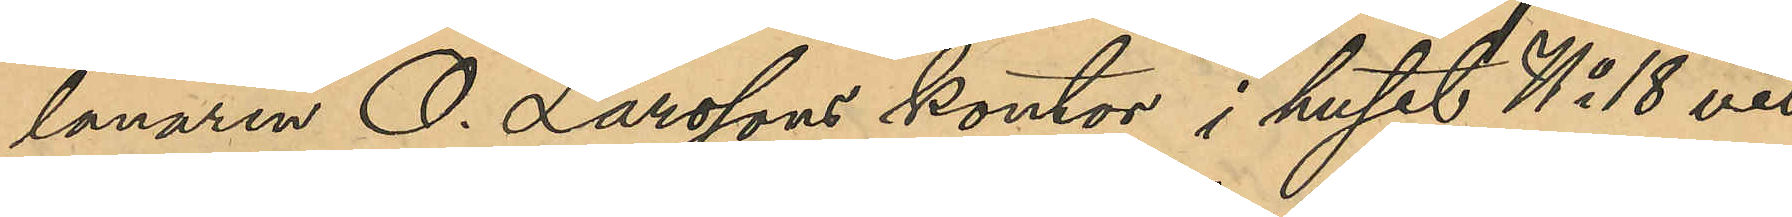lånaren O. Larssons kontor i huset No 18 vid
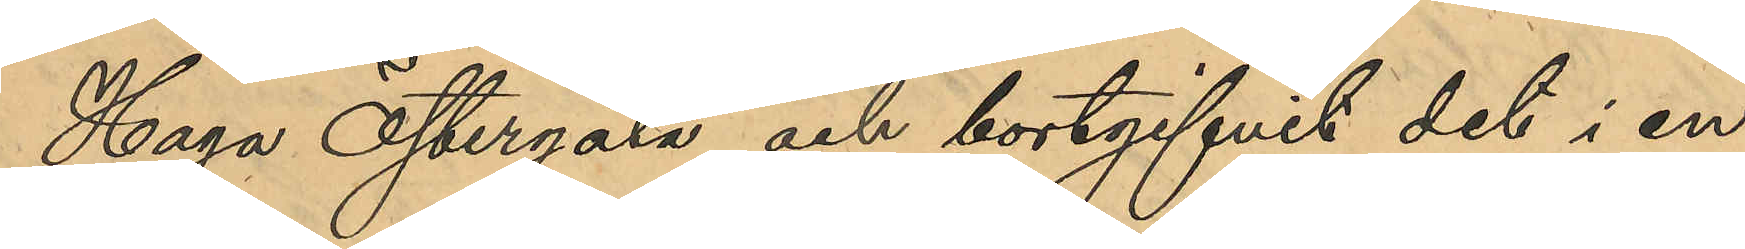Haga Östergata och bortgifvits det i en
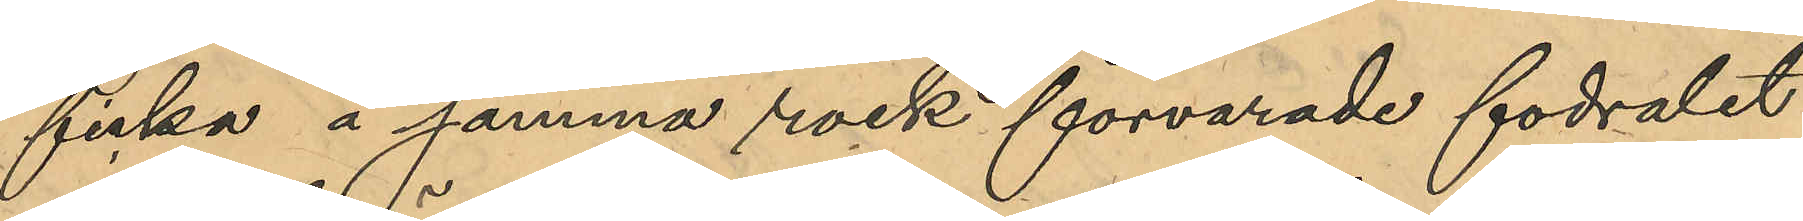ficka å samma rock förvarade fodralet
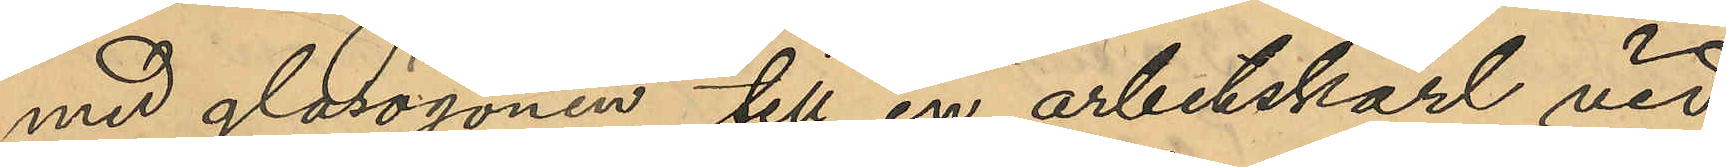med glasögonen till en arbetskarl vid 
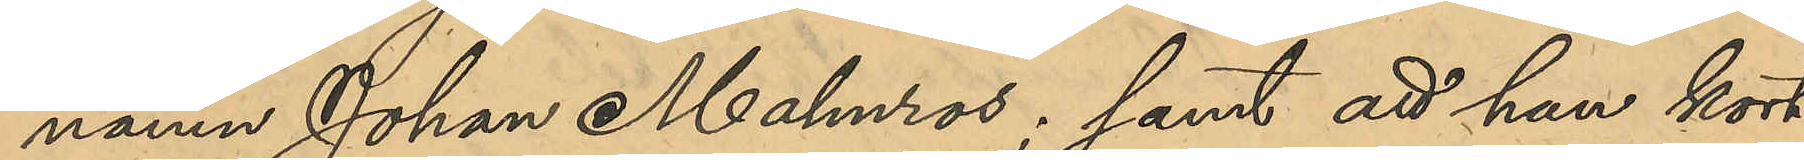namn Johan Malmros; samt att han kort
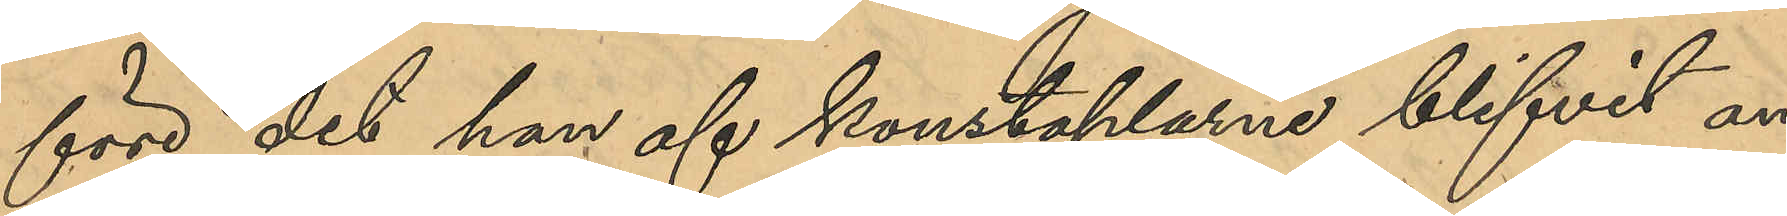före det han af konstaplarne blifvit an¬
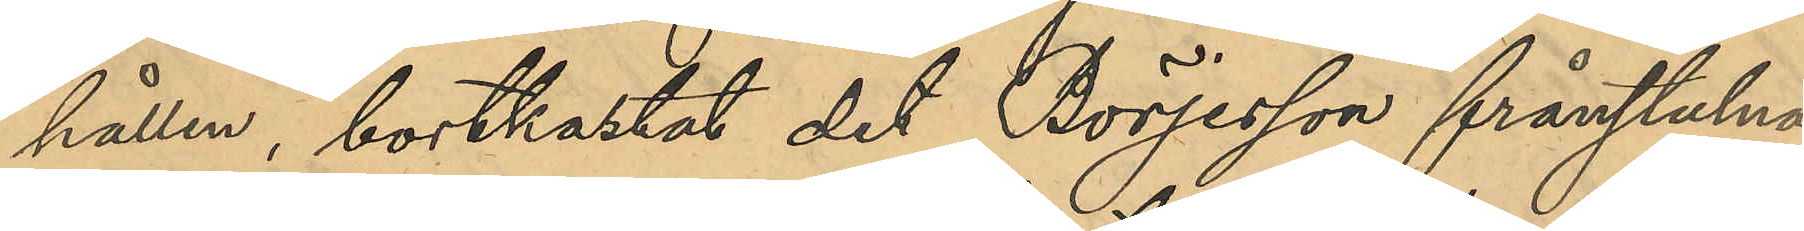hållen, bortkastat det Börjesson frånstulna
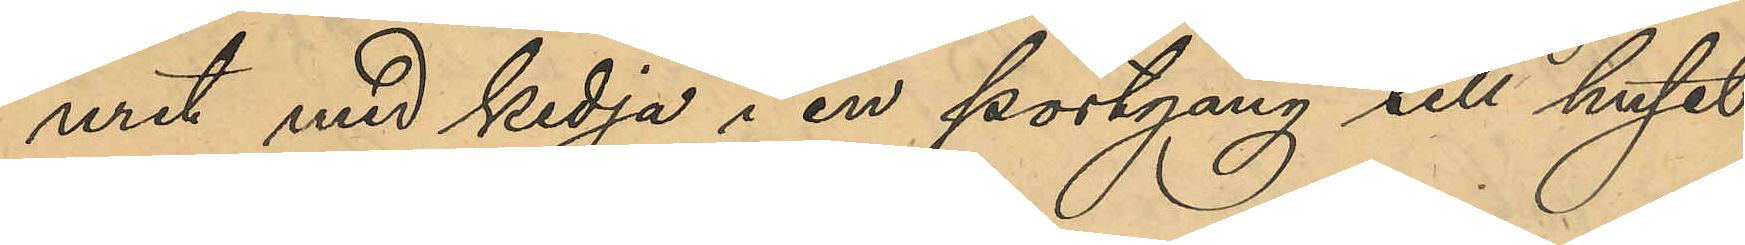uret med kedja i en portgång till huset
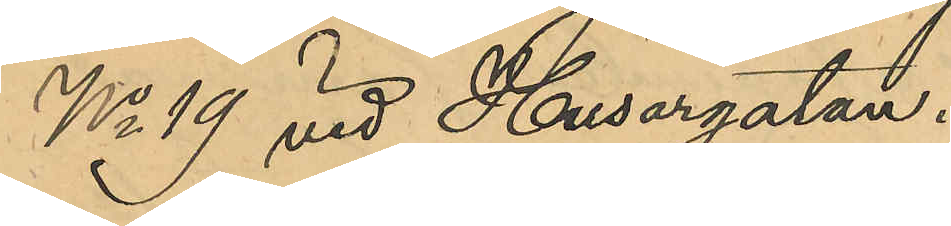No 19 vid Husargatan.
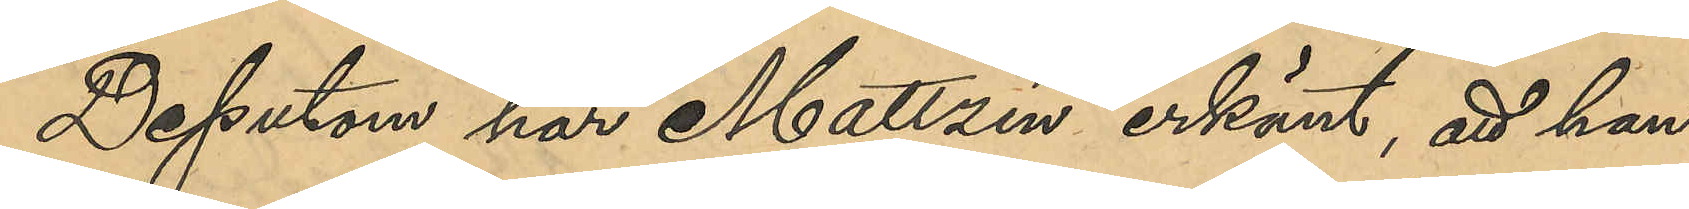Dessutom har Mattzén erkänt, att han
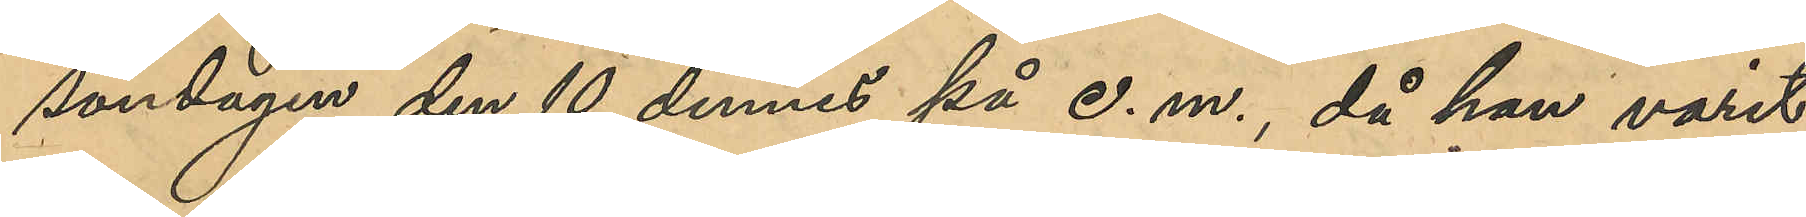söndagen den 10 dennes på e. m. , då han varit
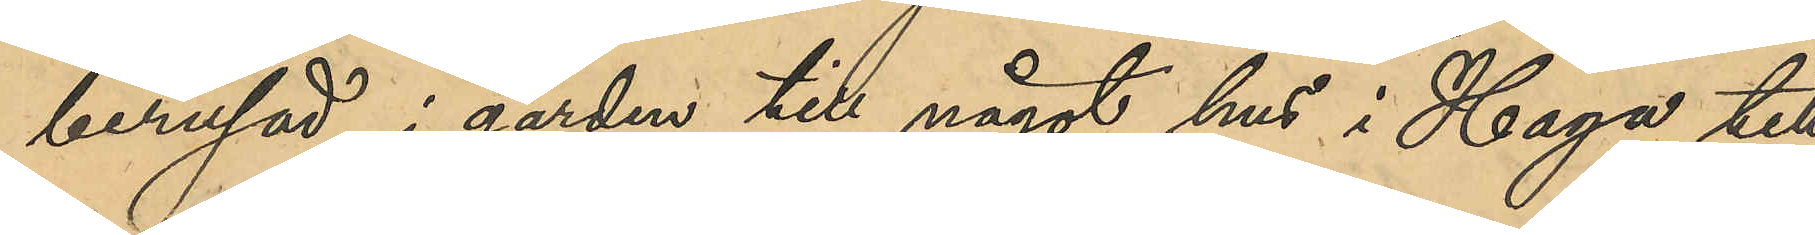berusad, i gården till något hus i Haga till¬
